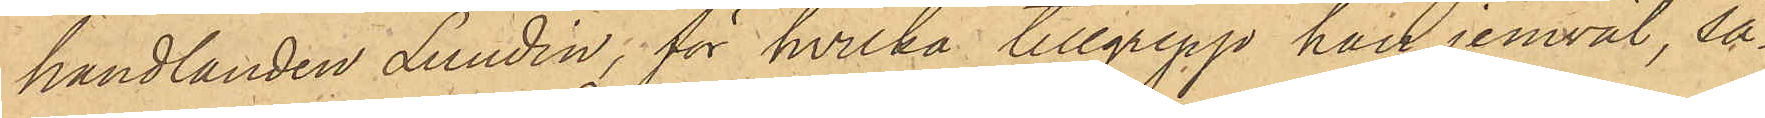handlanden Lundin, för hvilka tillgrepp han jemväl, så¬
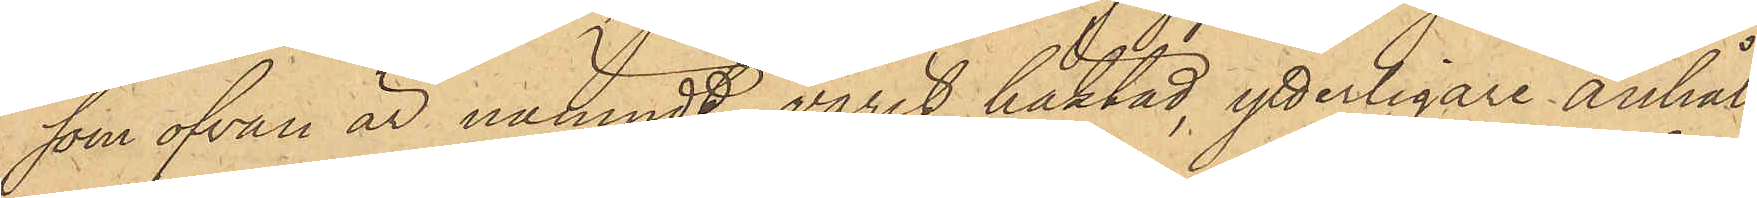som ofvan är nämndt, varit häktad, ytterligare anhål¬
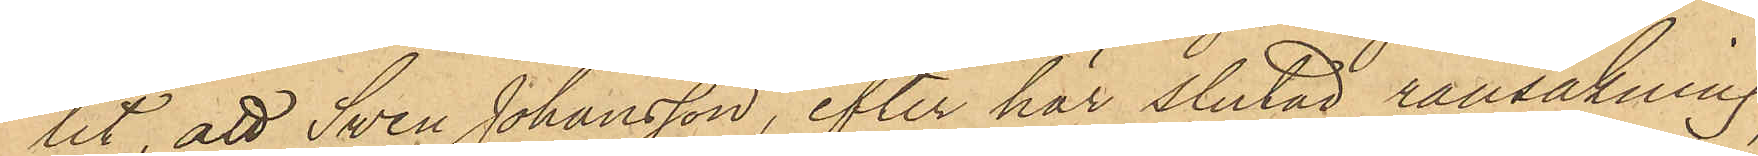lit, att Swen Johansson, efter här slutad ransakning,
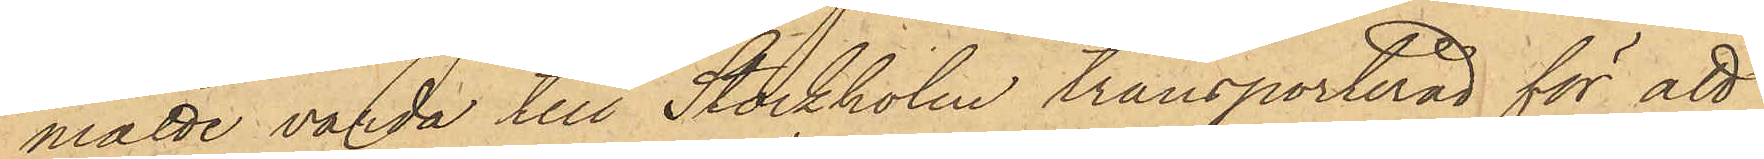måtte varda till Stockholm transporterad för att
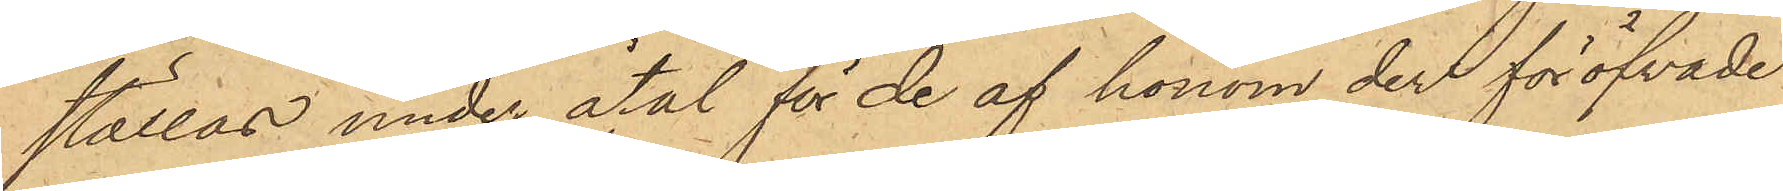ställas under åtal för de af honom der föröfvade
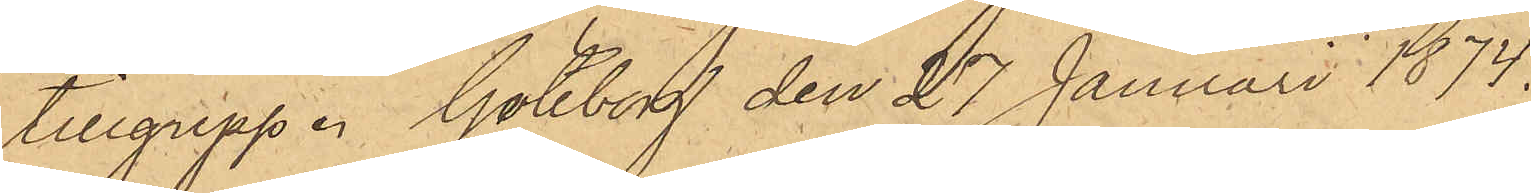tillgrepp. Göteborg den 27 Januari 1874.
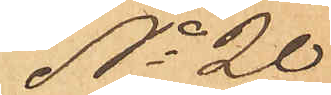No 20
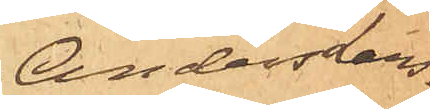Anders Lars¬
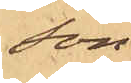son.
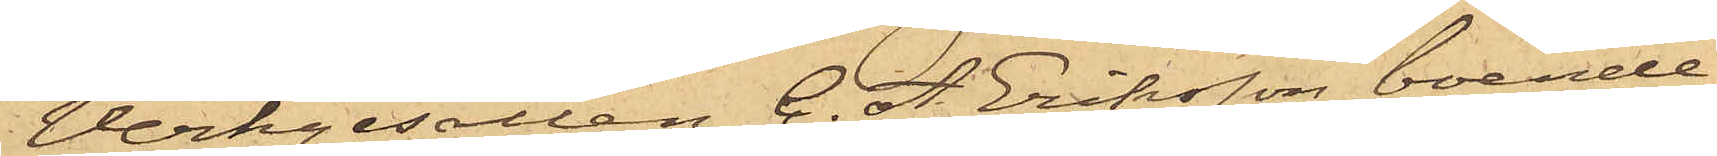Verkgesällen C. A. Eriksson, boende
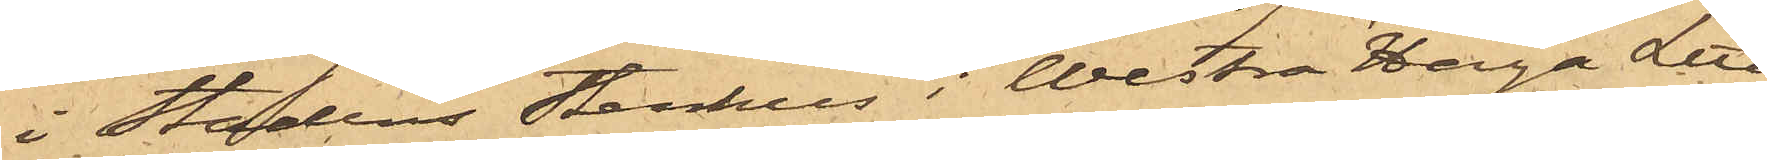i Stadens Stenhus i Westra Haga Litt
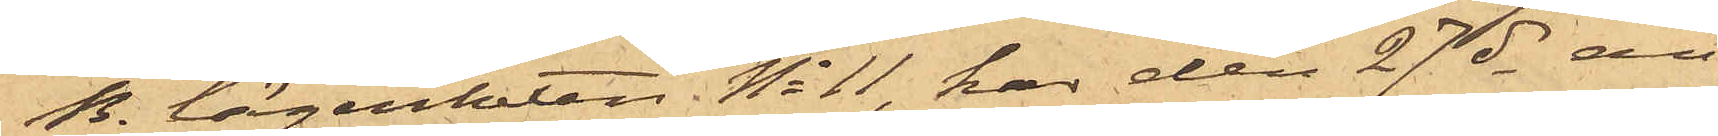B. lägenheten No 11, har den 27 ds an¬
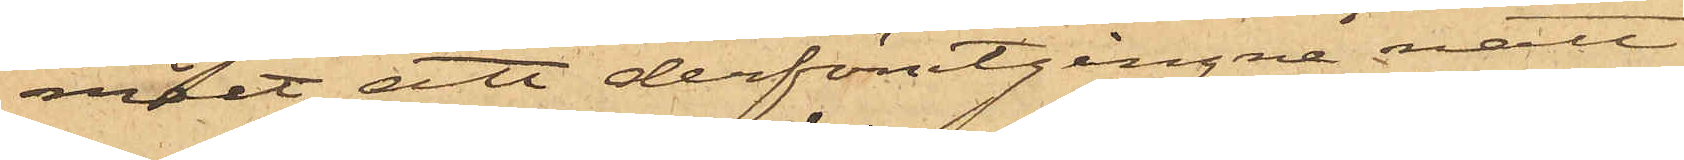mält att derförutgångne natt
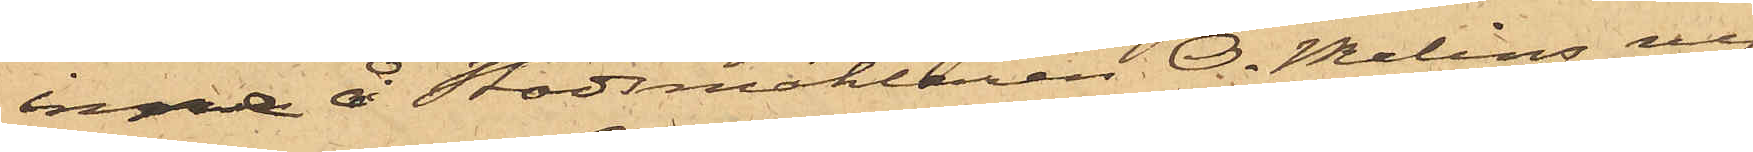inne å Stadsmäklaren O. Melins ny¬
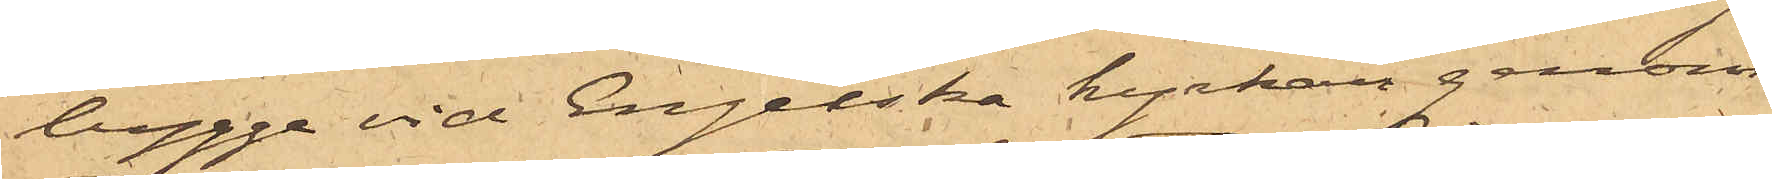bygge vid Engelska kyrkan genom
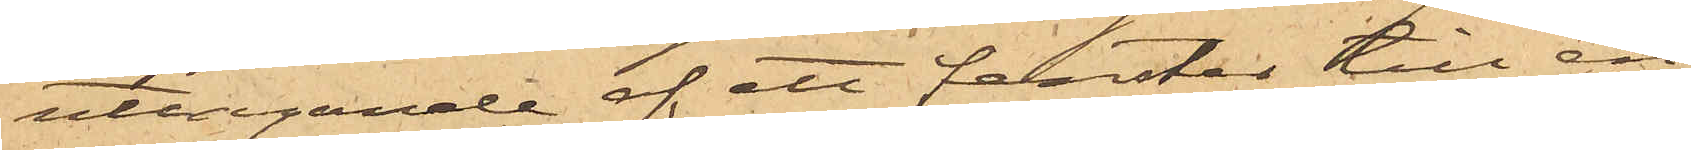uttagande af ett fenster till en
